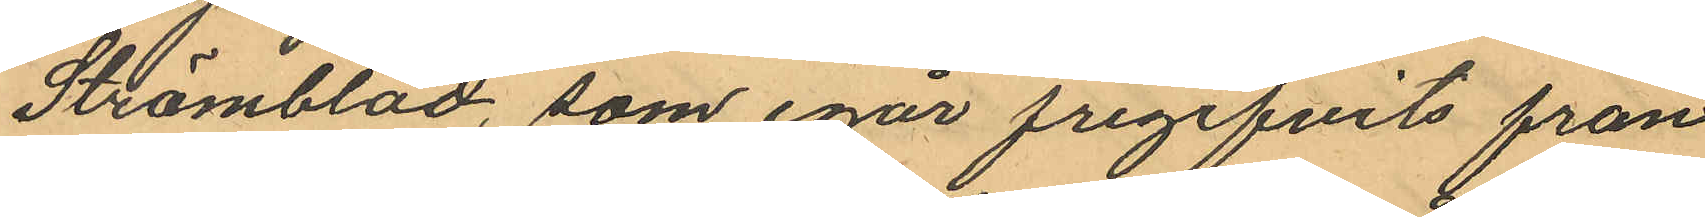Strömblad, som igår frigifvits från
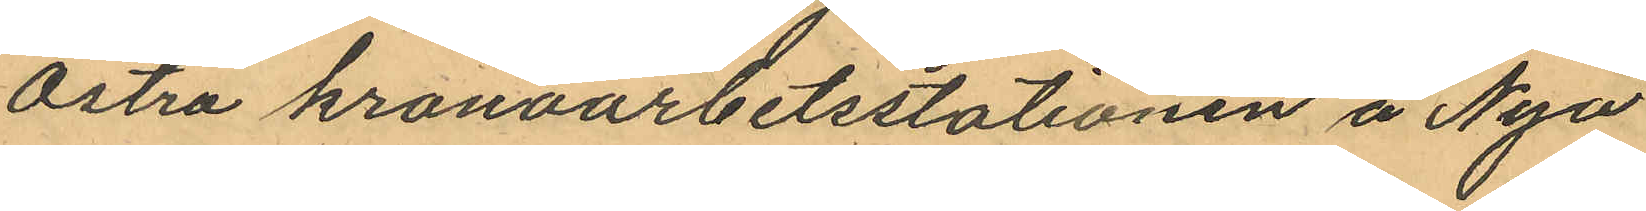Östra kronoarbetsstationen å Nya
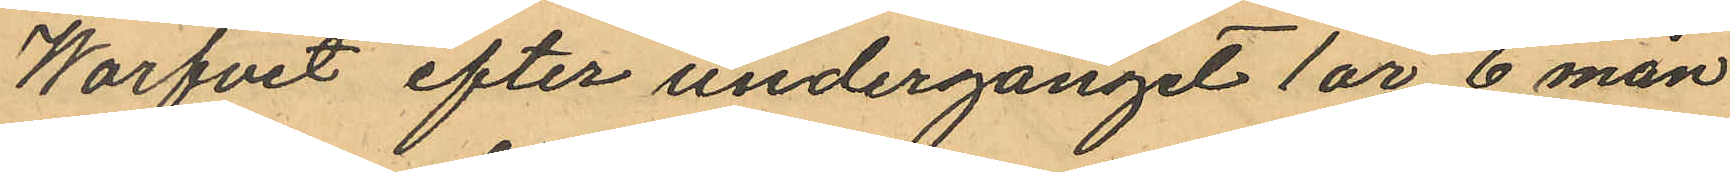Warfvet efter undergånget 1 år 6 mån
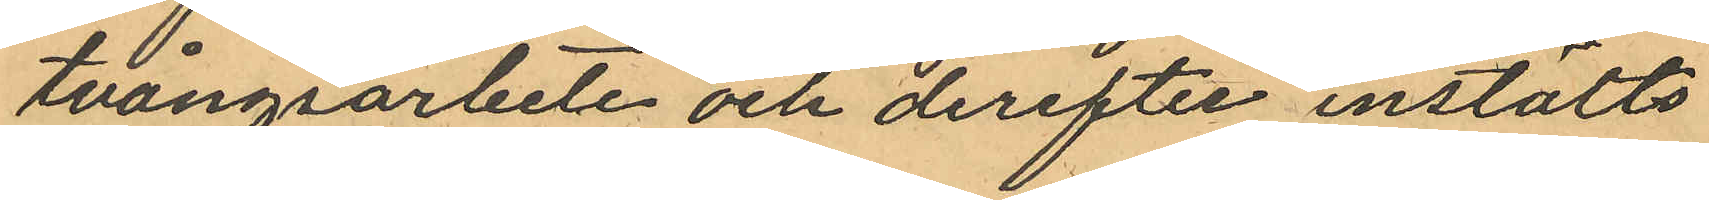tvångsarbete och derefter instälts
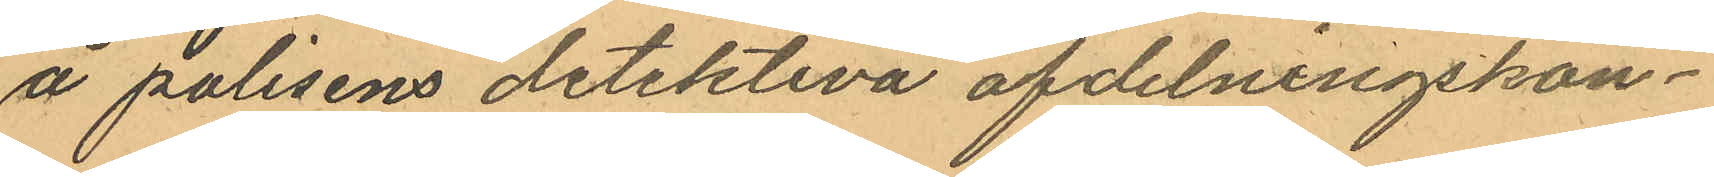å polisens detektiva afdelningskon¬
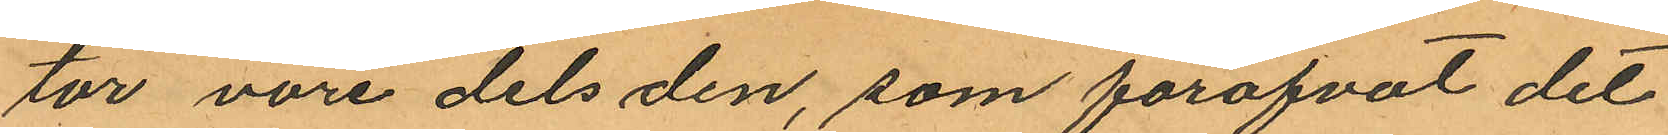tor vore dels den, som föröfvat det
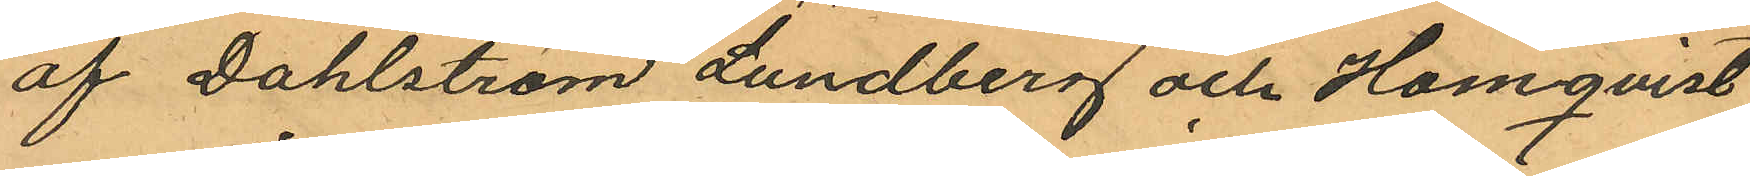af Dahlström Lundberg och Homqvist
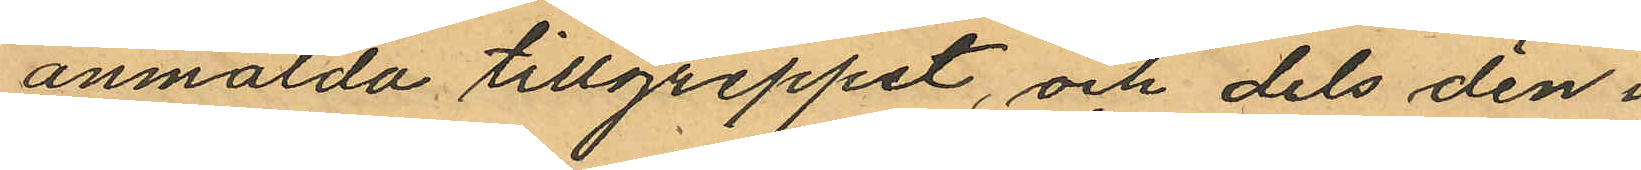anmälda tillgreppet, och dels den i
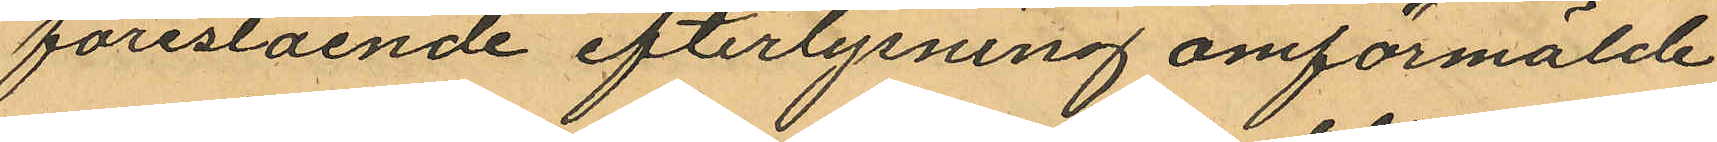förestående efterlysning omförmälde
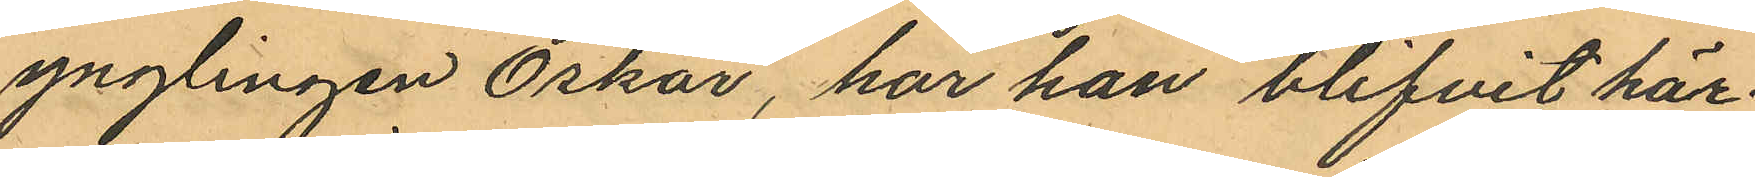ynglingen Oskar, har han blifvit här¬
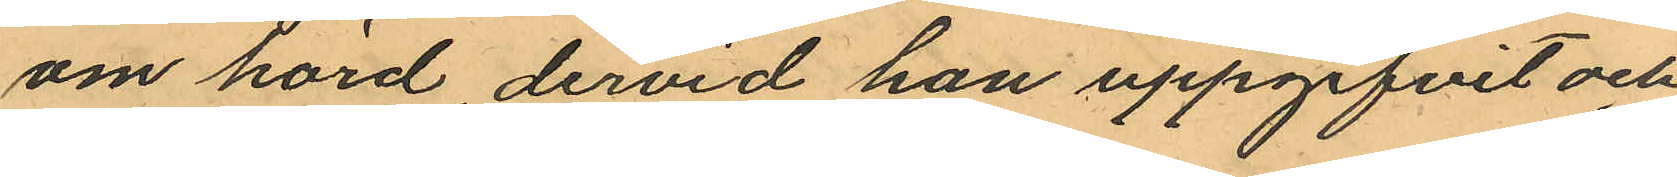om hörd, dervid han uppgifvit och
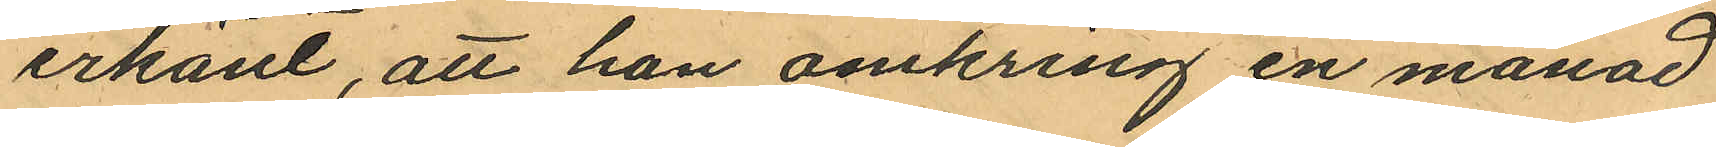erkänt, att han omkring en månad
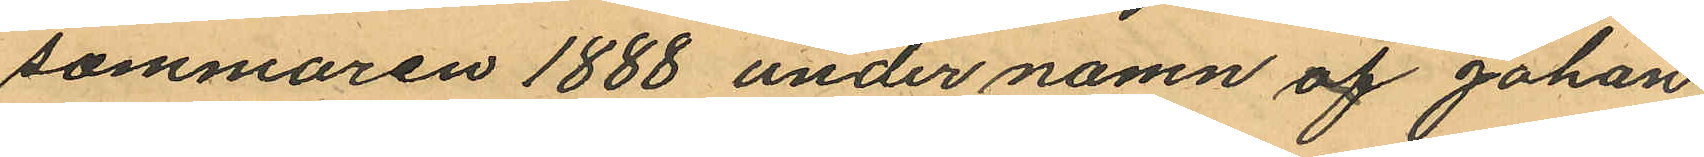sommaren 1888 under namn af Johan
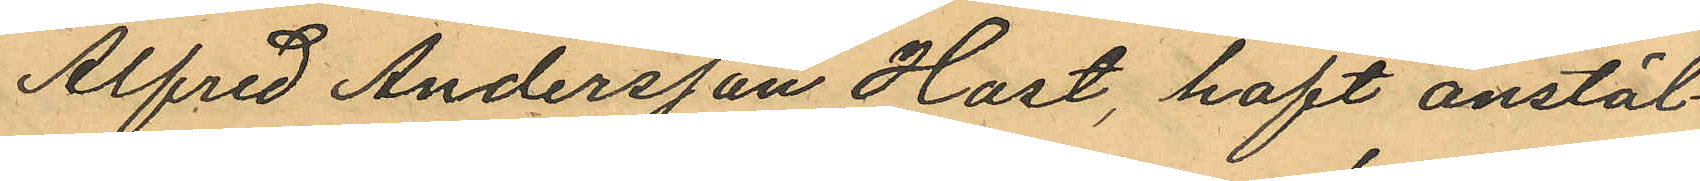Alfred Andersson Hast, haft anstäl¬
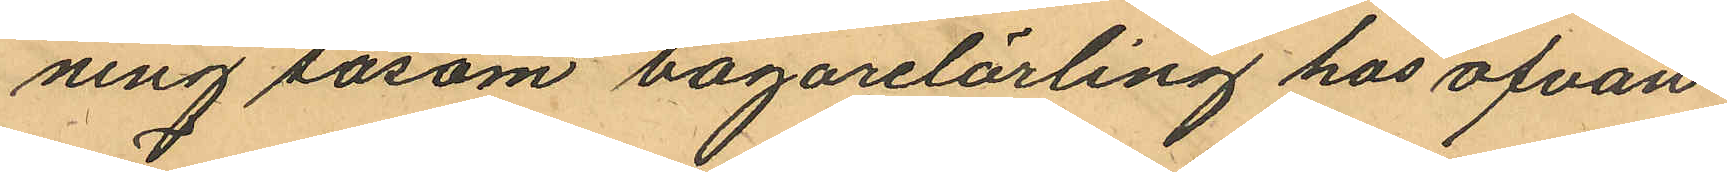ning såsom bagarelärling hos ofvan¬
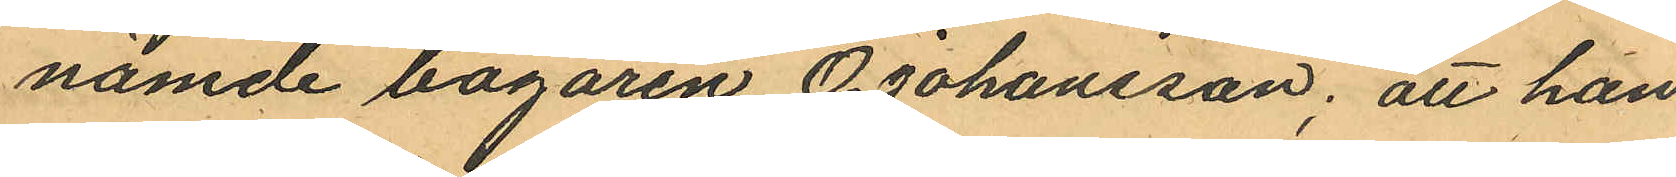nämde bagaren O. Johansson, att han
